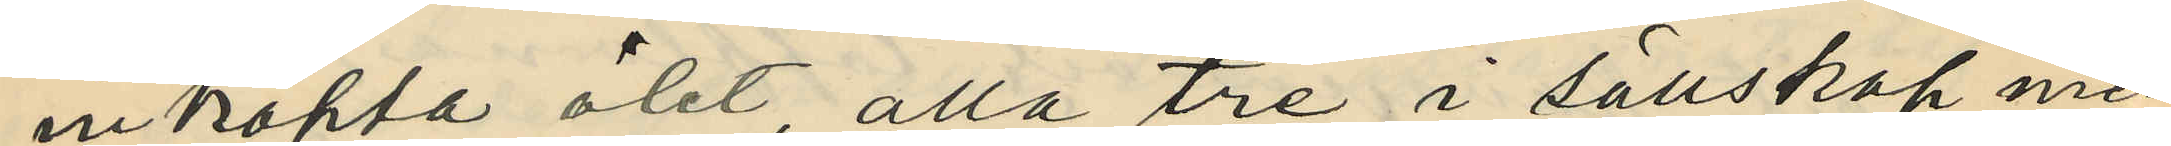inköpta ölet, alla tre i sällskap med
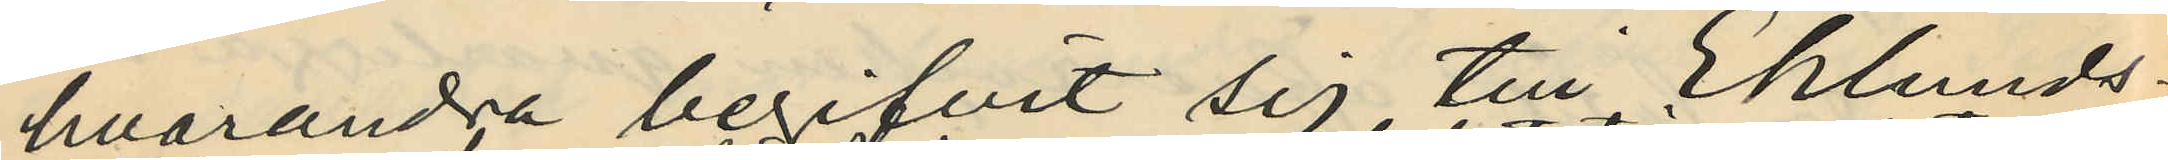hvarandra begifvit sig till Eklunds¬
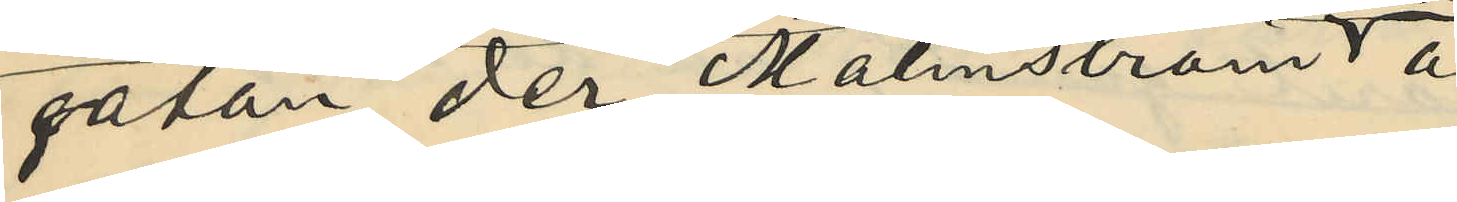gatan der Malmström å
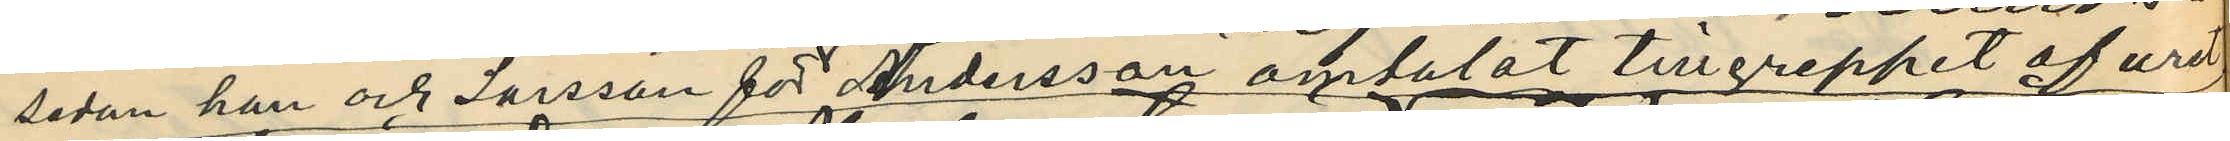sedan han och Larsson för Andersson omtalat tillgreppet af uret,
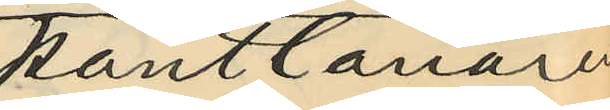pantlånare
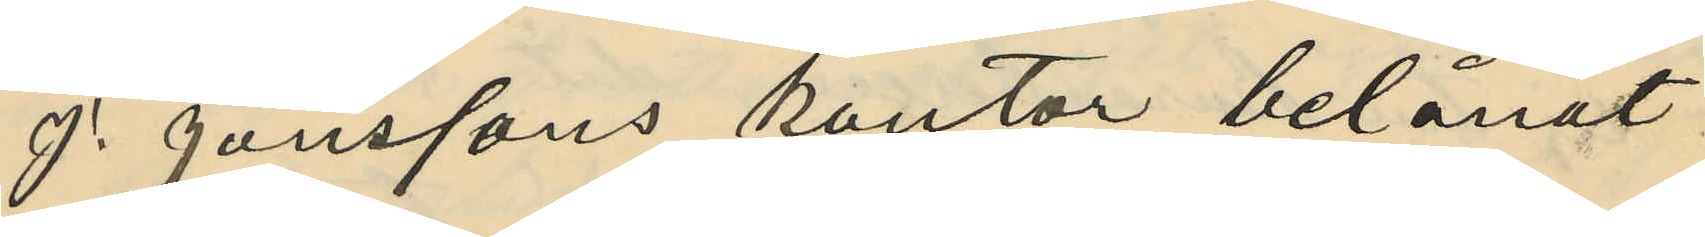J. Janssons kontor belånat
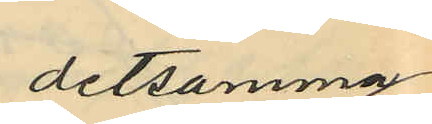detsamma
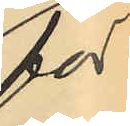för
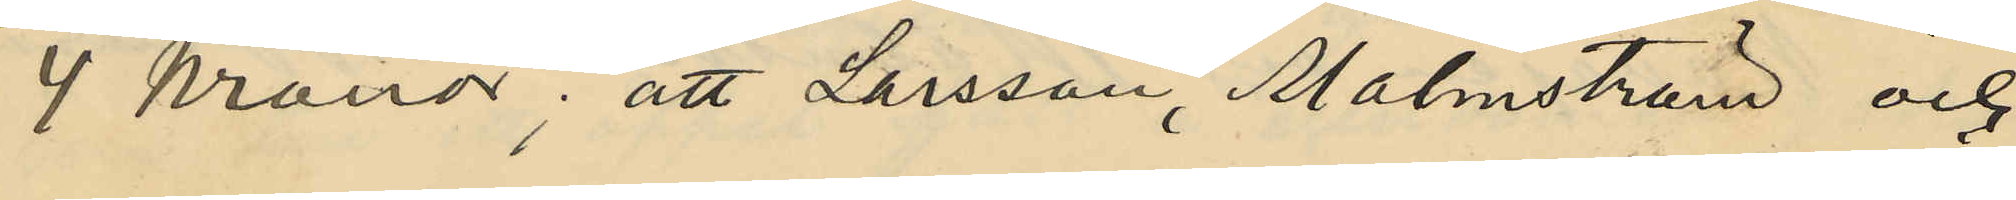4 Kronor; att Larsson, Malmström och
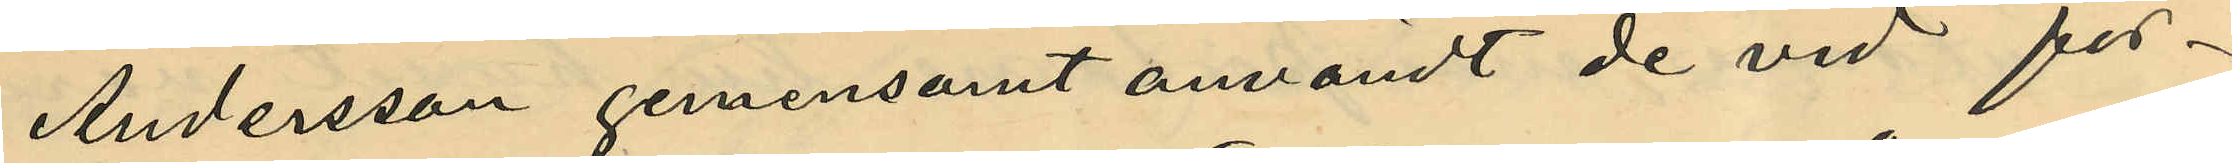Andersson gemensamt användt de vid för¬
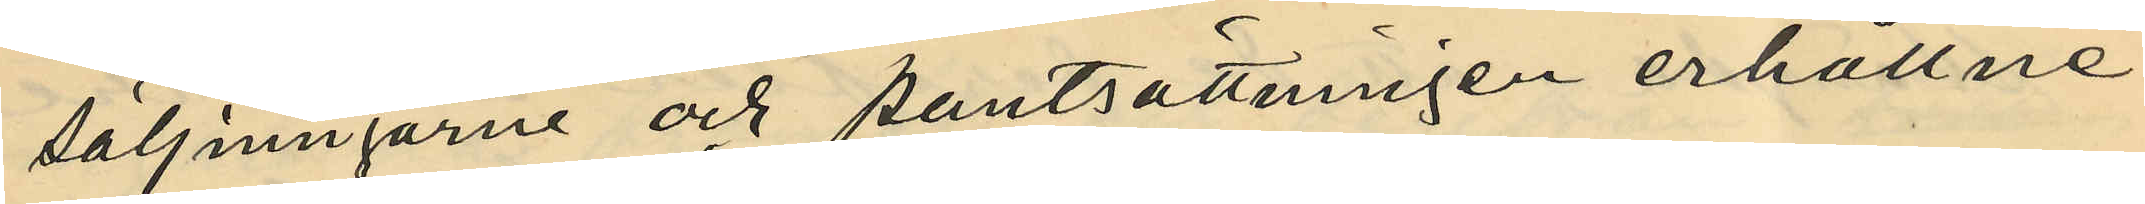säljningarne och pantsättningen erhållne
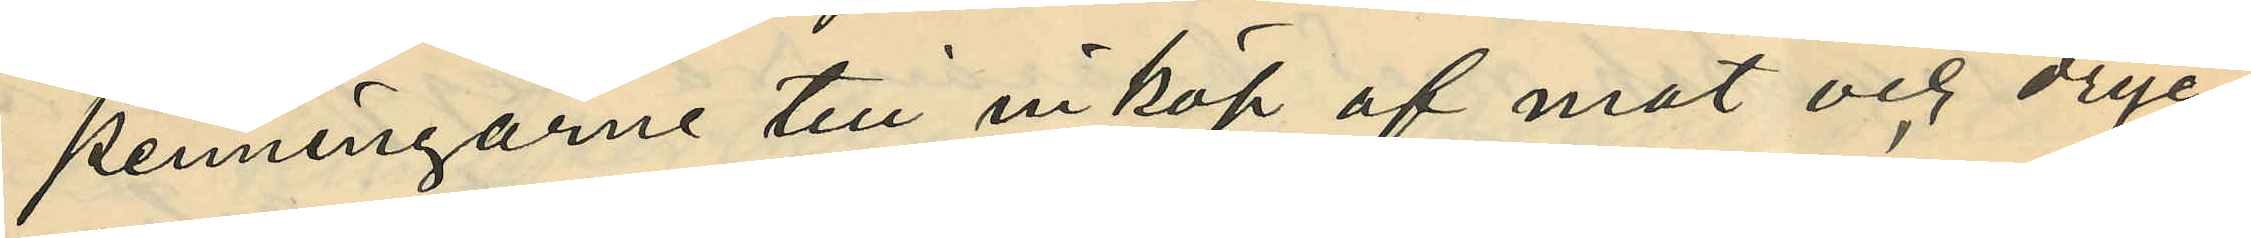penningarne till inköp af mat och dryc¬
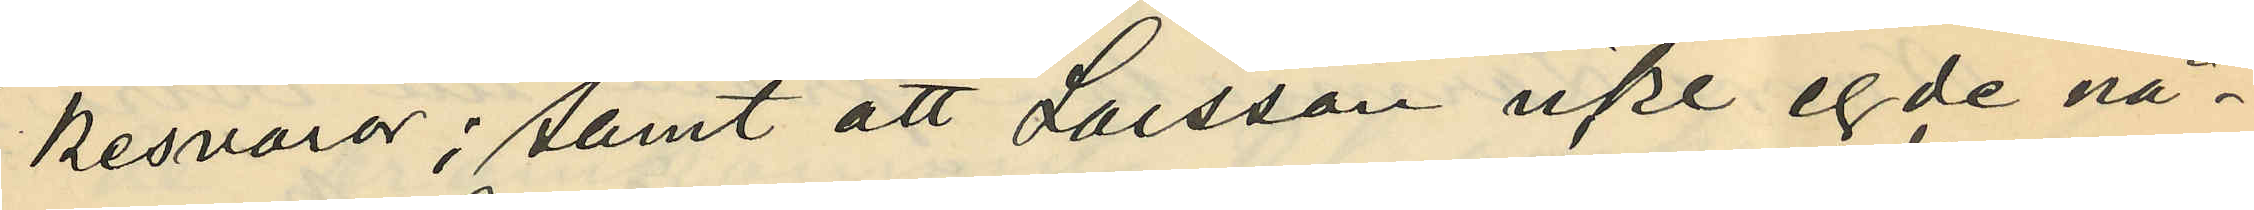kesvaror; samt att Larsson icke egde nå¬
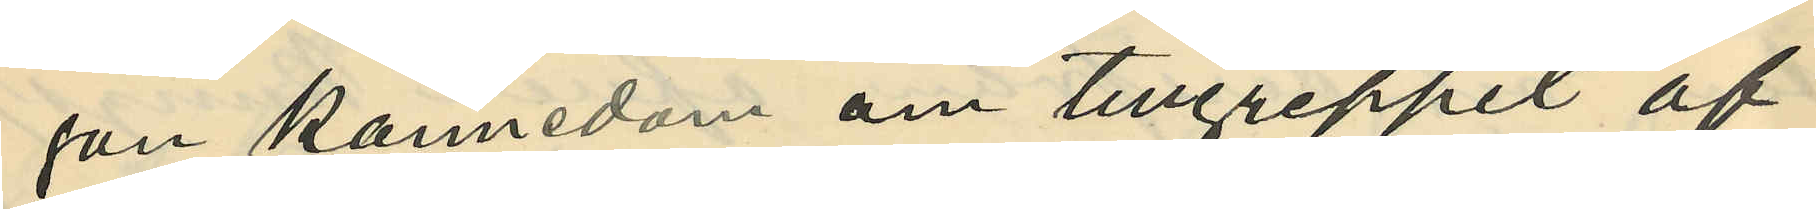gon kännedom om tillgreppet af
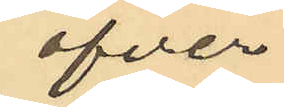öfver¬
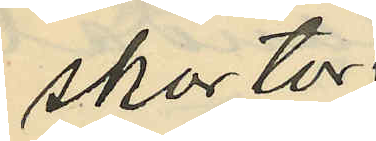skortor
